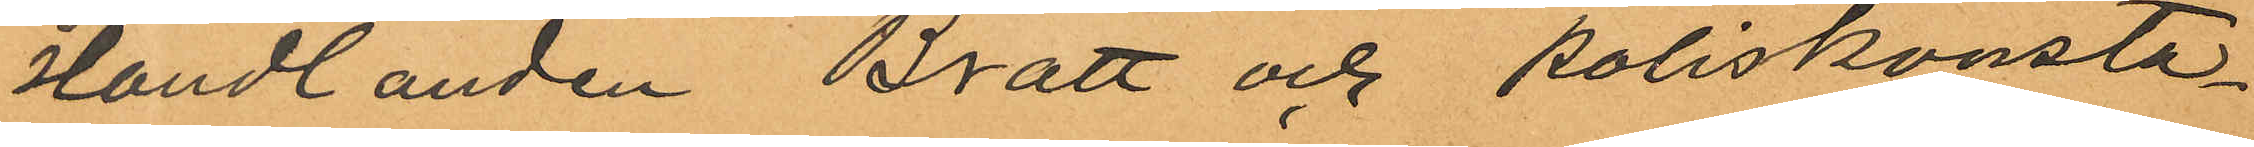Handlanden Bratt och poliskonsta¬
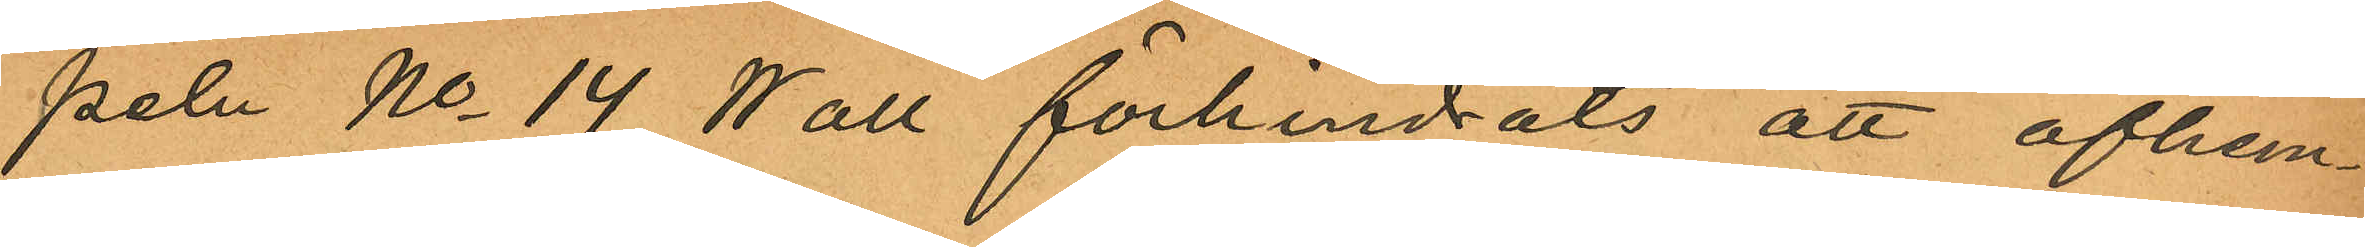peln No 14 Wall förhindrats att afhem¬
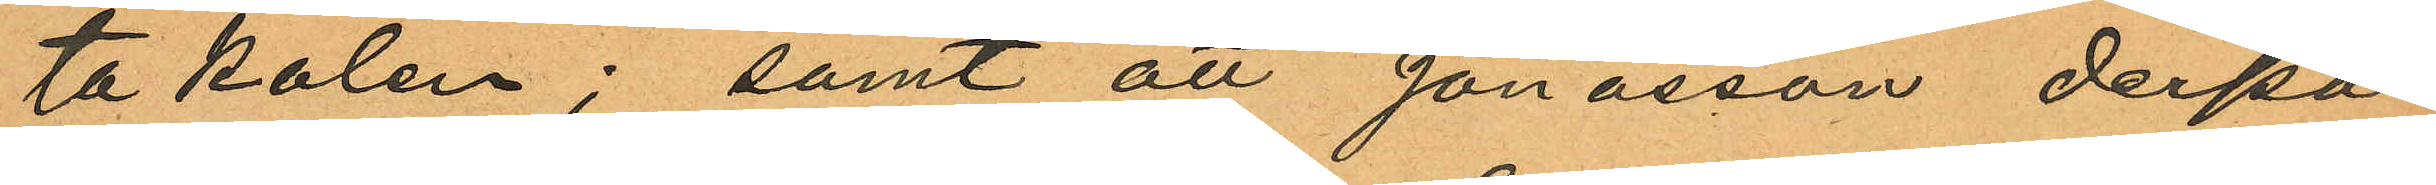ta kolen; samt att Jonasson derpå
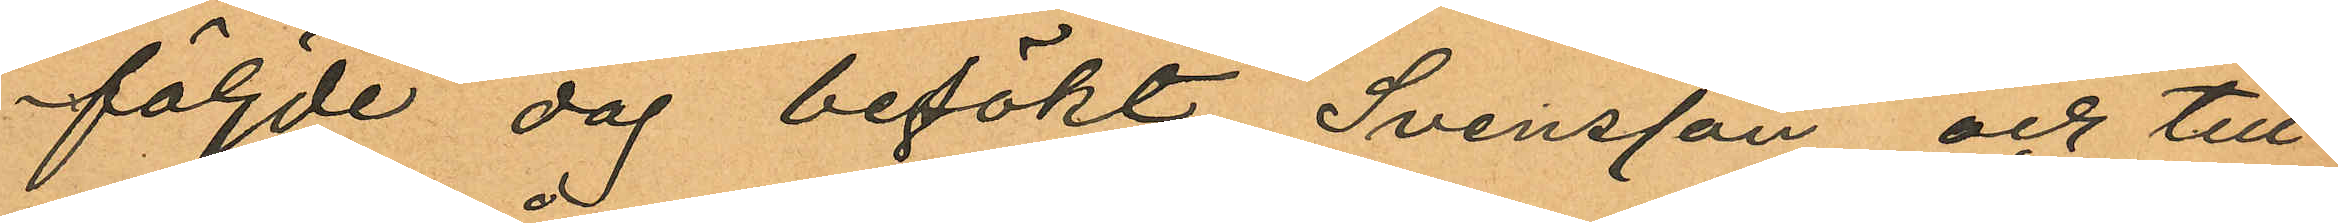följde dag besökt Svensson och till
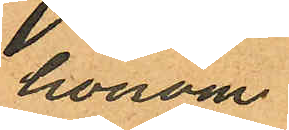honom
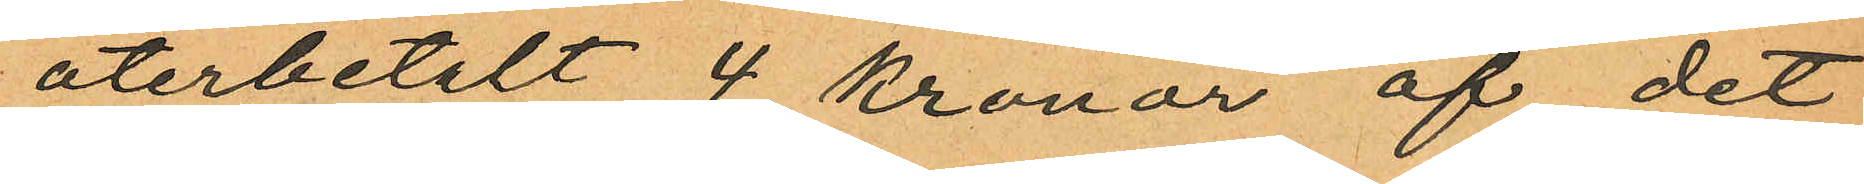återbetalt 4 kronor af det
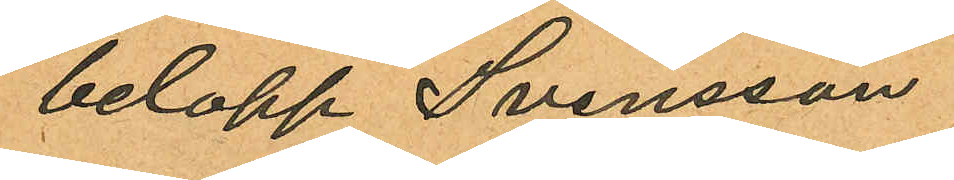belopp Svensson
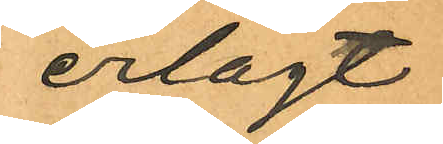erlagt
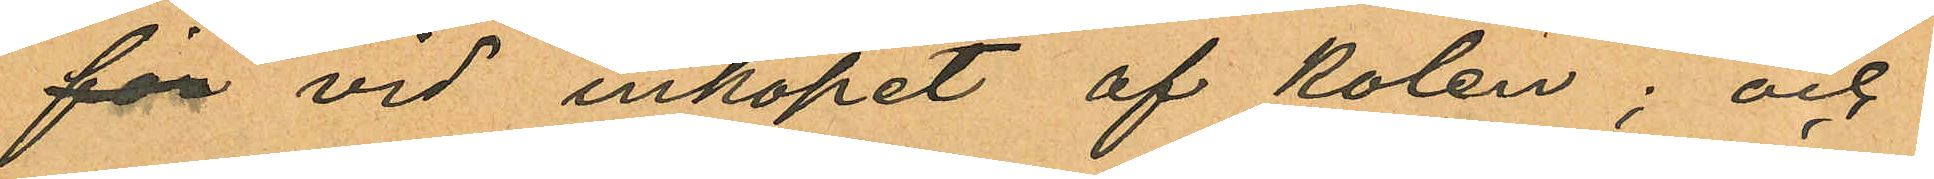för vid inköpet af kolen; och
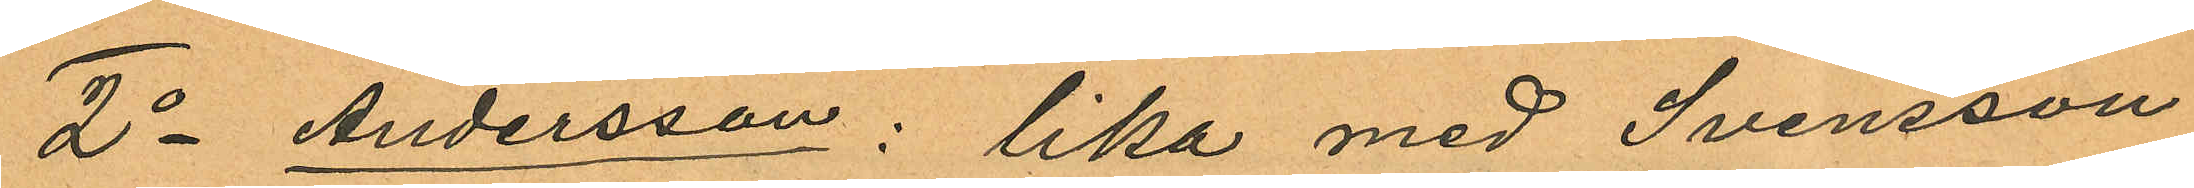2o Andersson: lika med Svensson
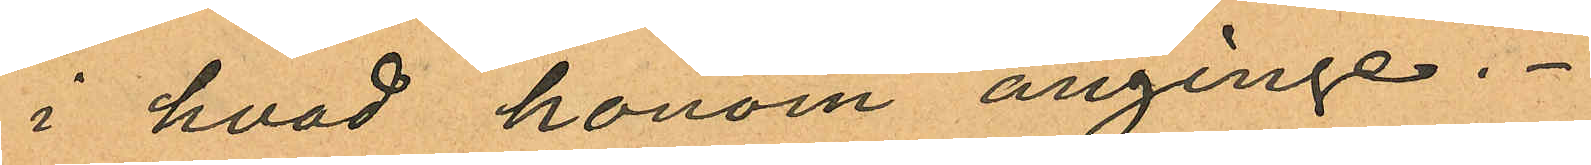i hvad honom anginge.
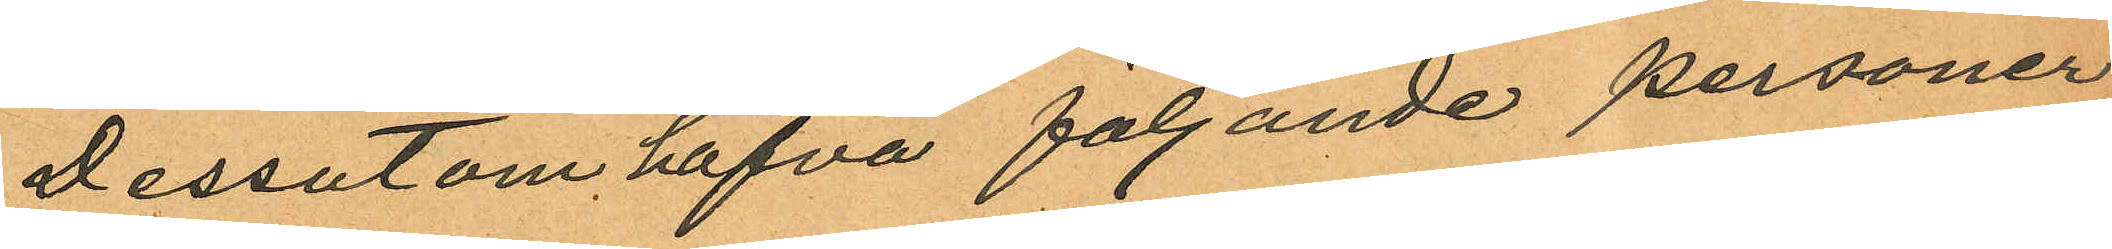Dessutom hafva följande personer
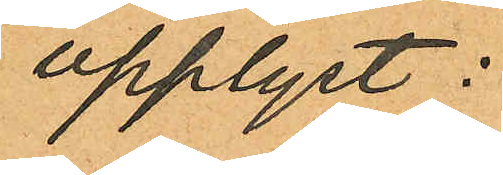upplyst:
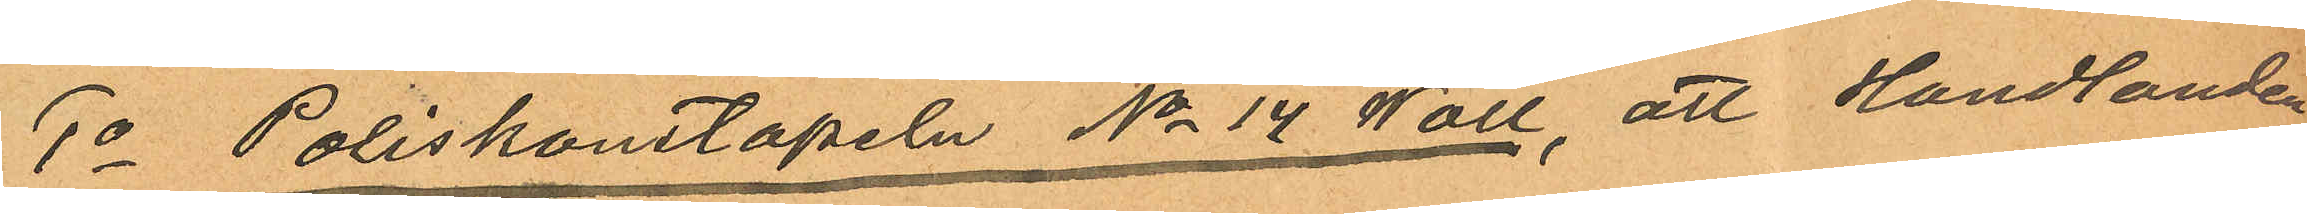1o Poliskonstapeln No 14 Wall, att Handlanden
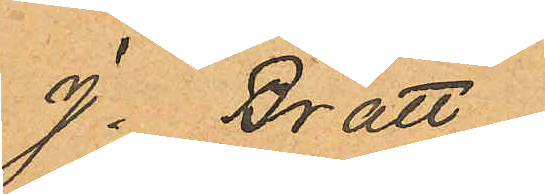J. Bratt
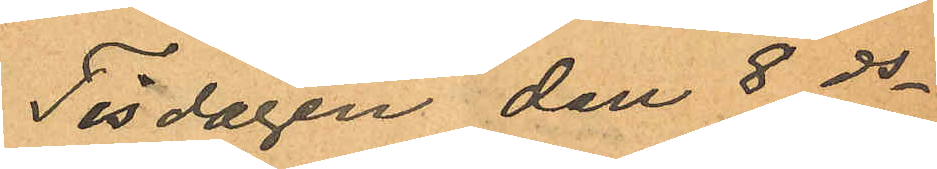Tisdagen den 8 ds
